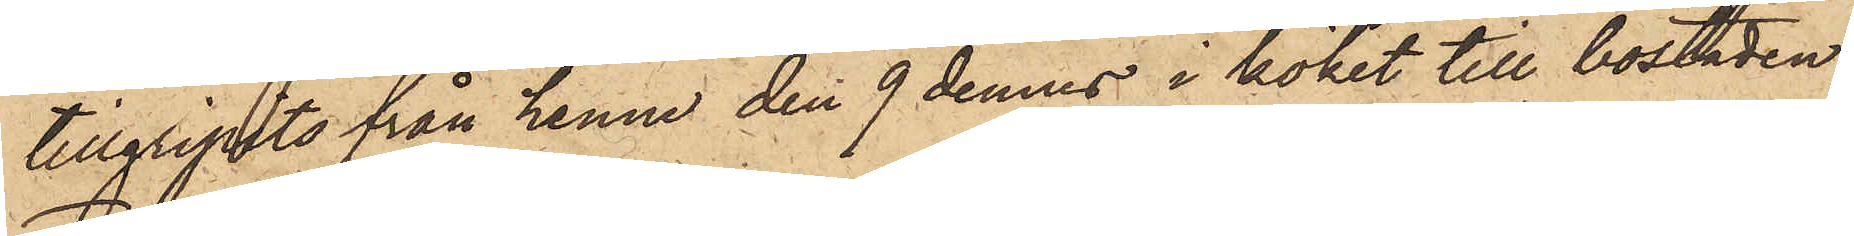tillgripits från henne den 9 dennes i köket till bostaden;
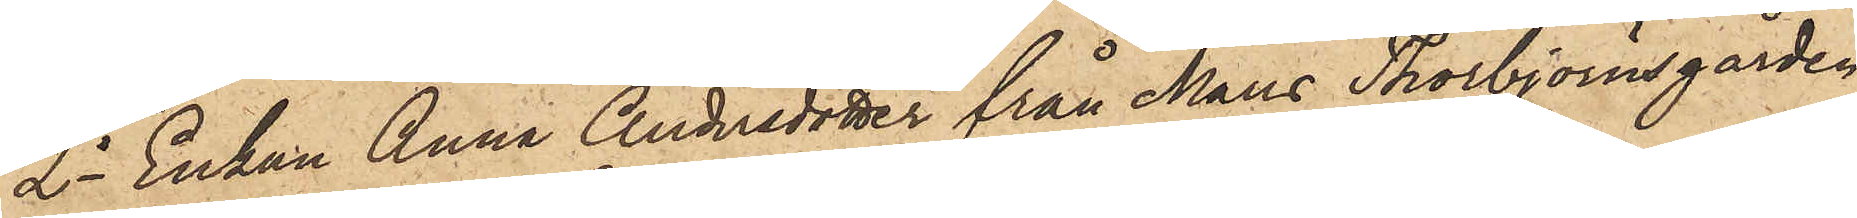2o Enkan Anna Andersdotter från Måns Thorbjörnsgården,
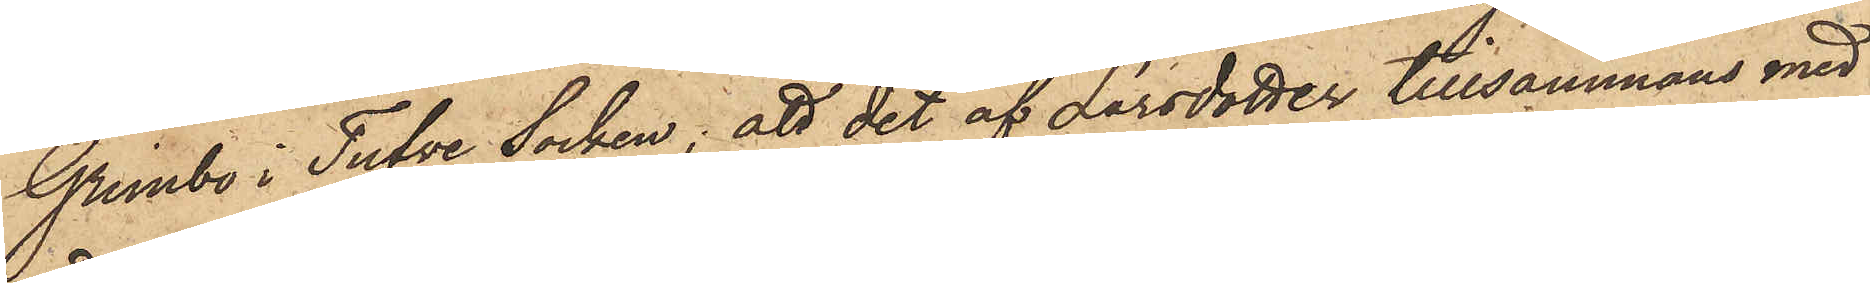Grimbo i Tufve Socken; att det af Larsdotter tillsammans med
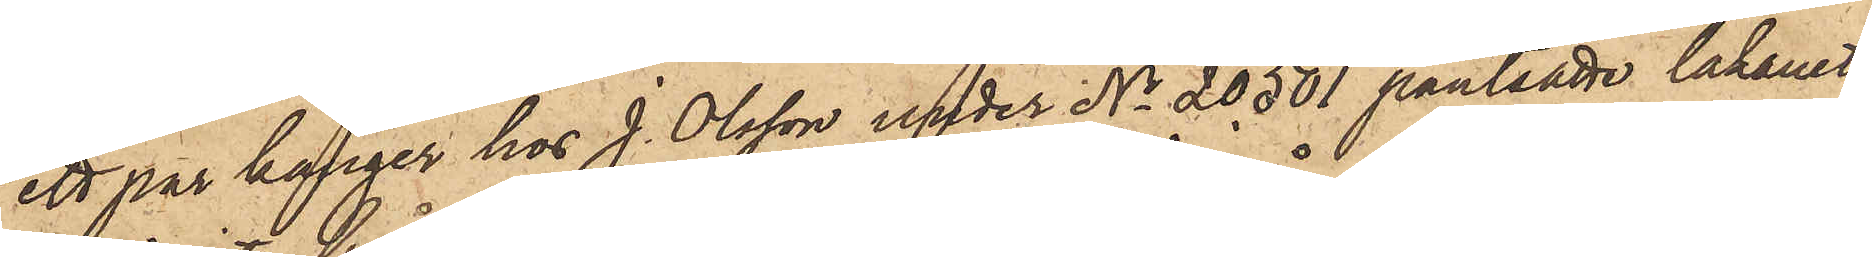ett par känger hos J. Olsson under No 20501 pantsatte lakanet
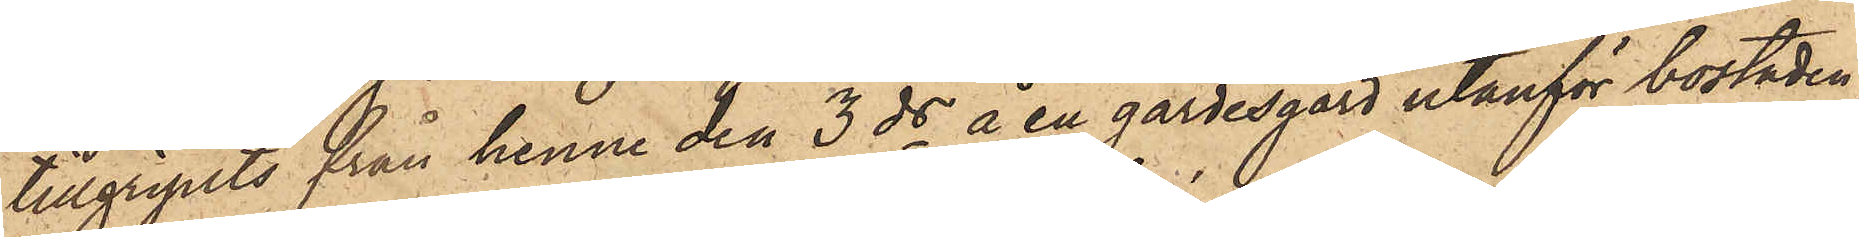tillgripits från henne den 3 ds å en gärdesgård utanför bostaden,
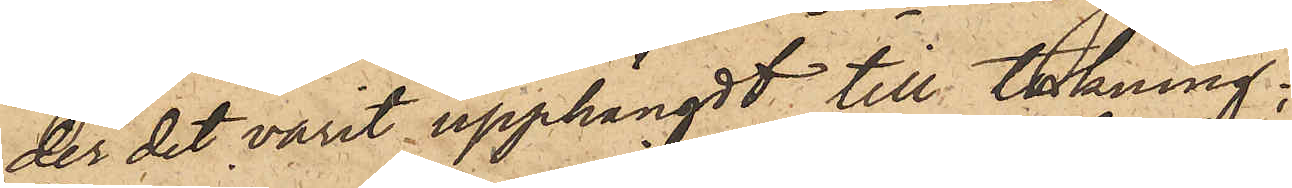der det varit upphängdt till torkning;
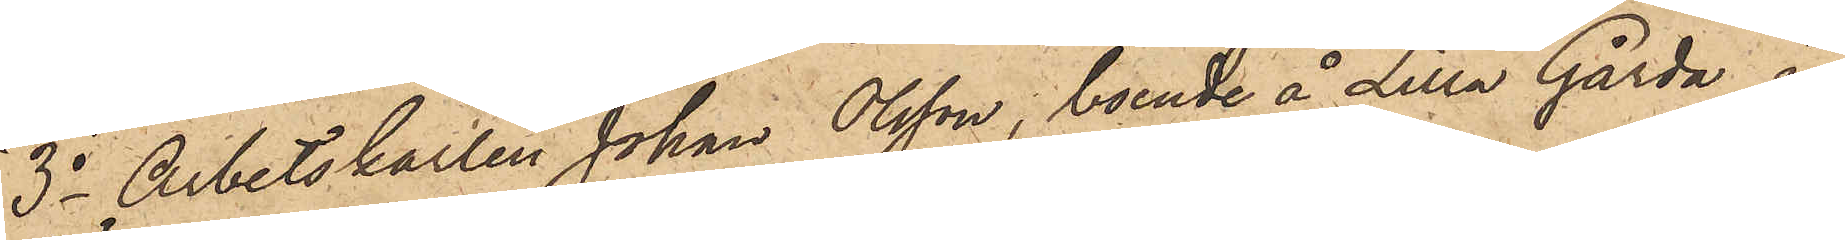3o Arbetskarlen Johan Olsson, boende å Lilla Gårda i
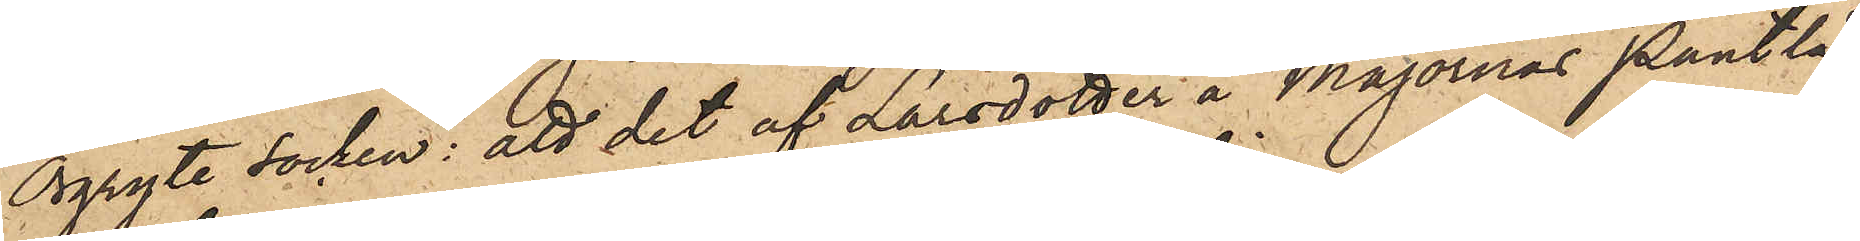Örgryte socken: att det af Larsdotter å Majornas Pantlå¬
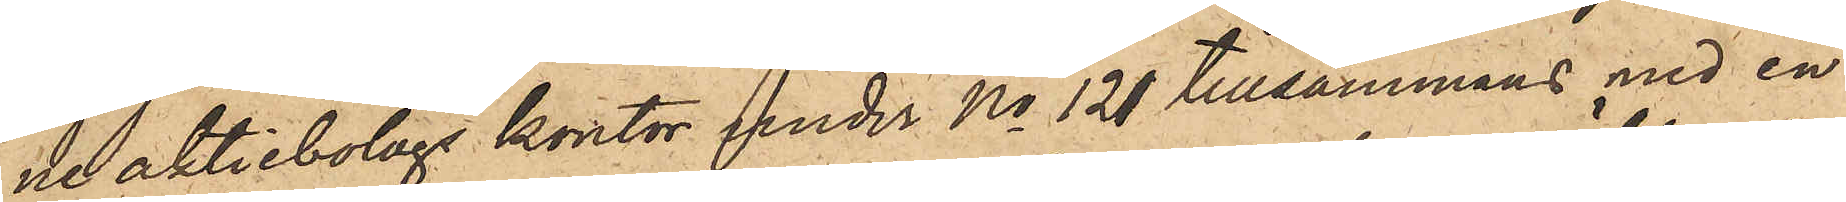neaktiebolags kontor under No 121 tillsammans med en
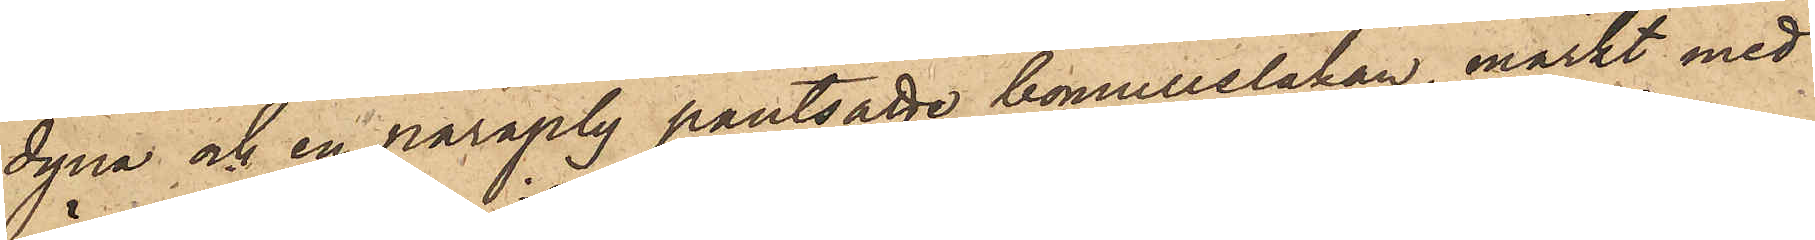dyna och en paraply pantsatte bomullslakan, märkt med
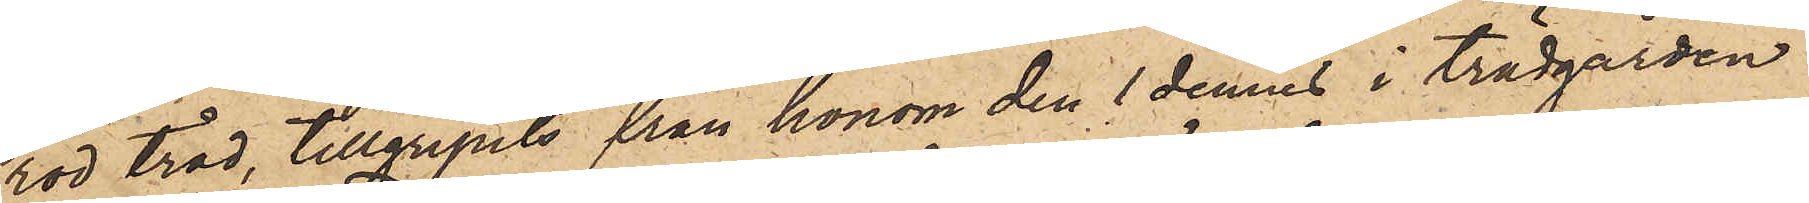röd tråd, tillgripits från honom den 1 dennes i trädgården
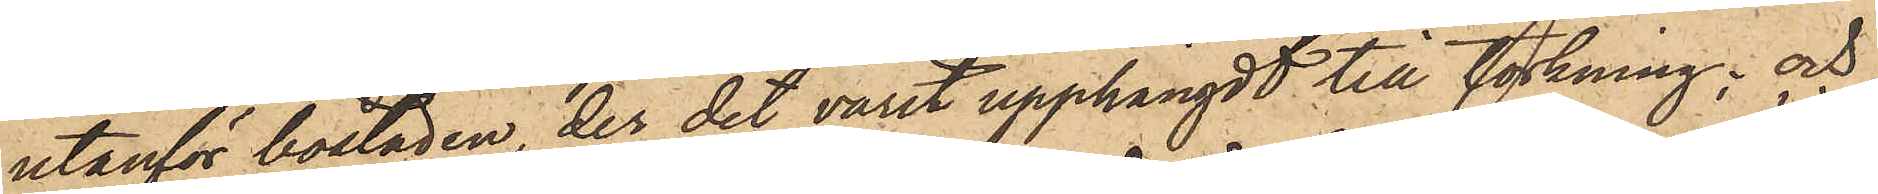utanför bostaden, der det varit upphängdt till torkning; och
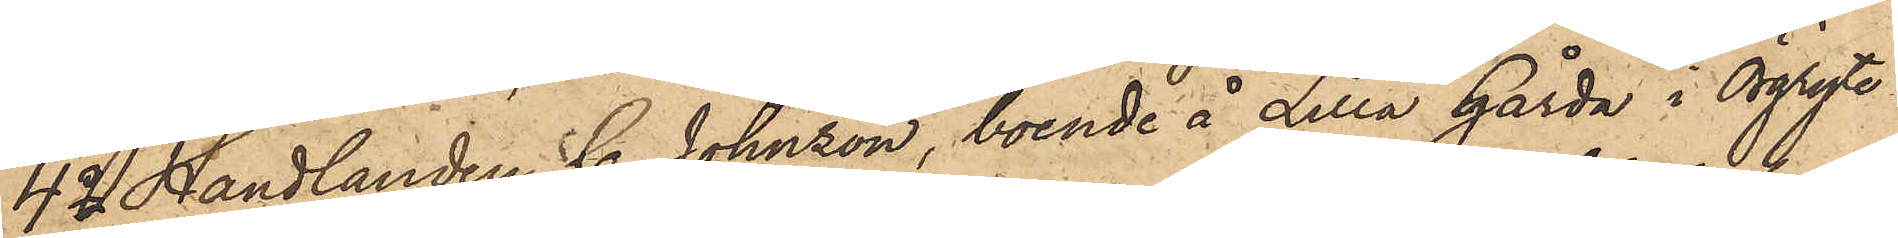4o Handlanden C. Johnson, boende å Lilla Gårda i Örgryte
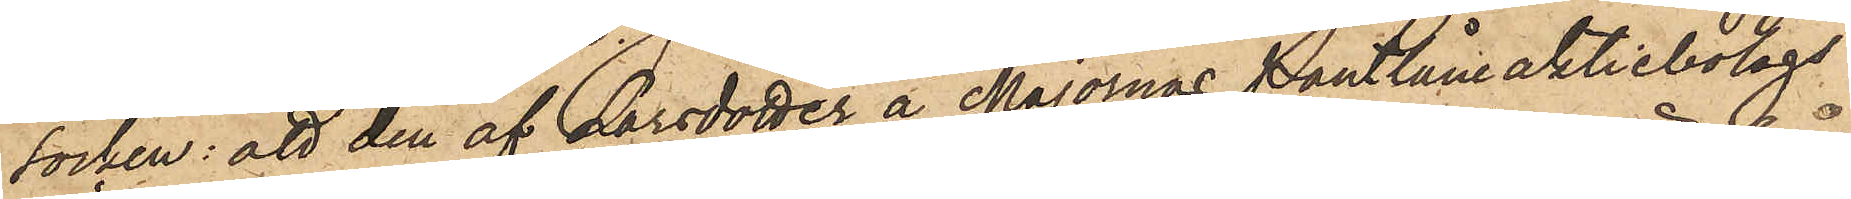socken: att den af Larsdotter å Majornas Pantlåneaktiebolags
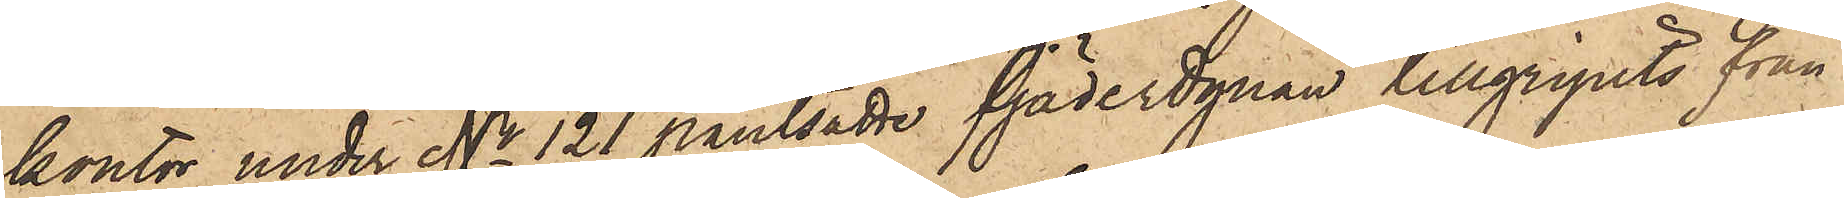kontor under No 121 pantsatte fjäderdynan tillgripits från
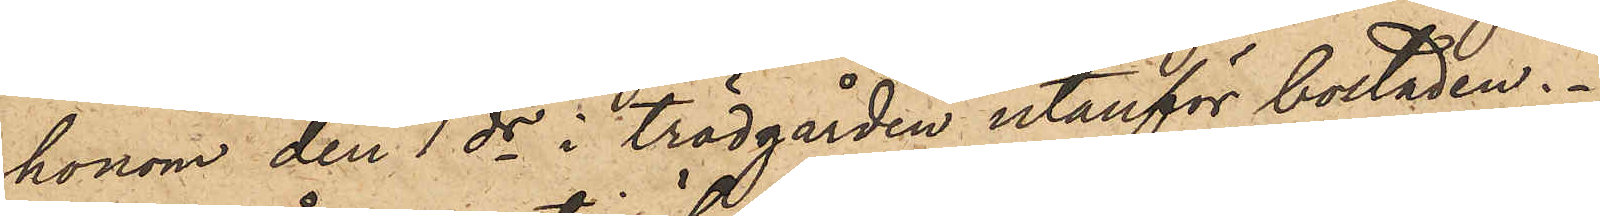honom den 1 ds i trädgården utanför bostaden.
